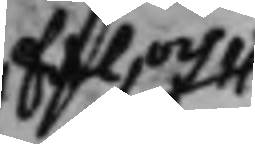Edel och
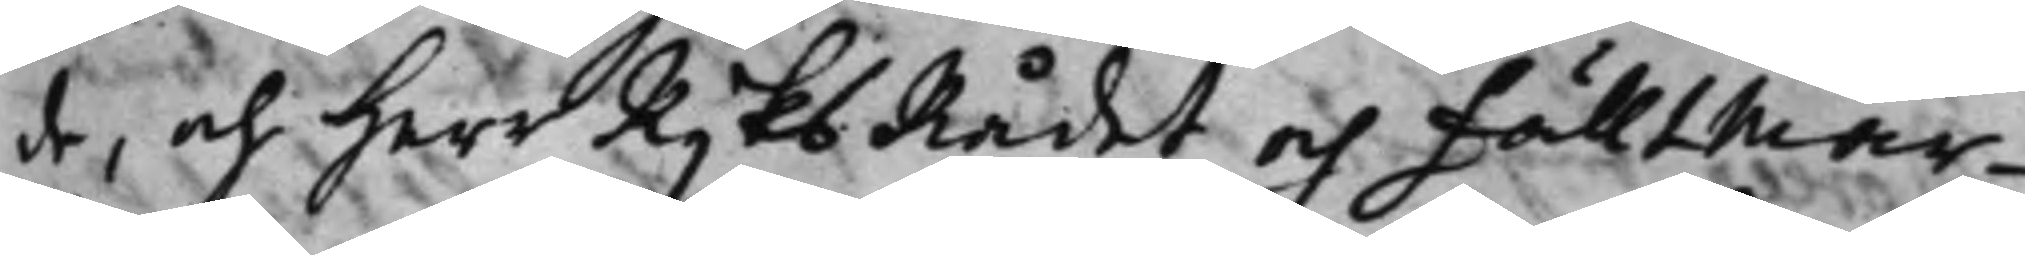de, och Herr RijksRådet och Fälltmar¬
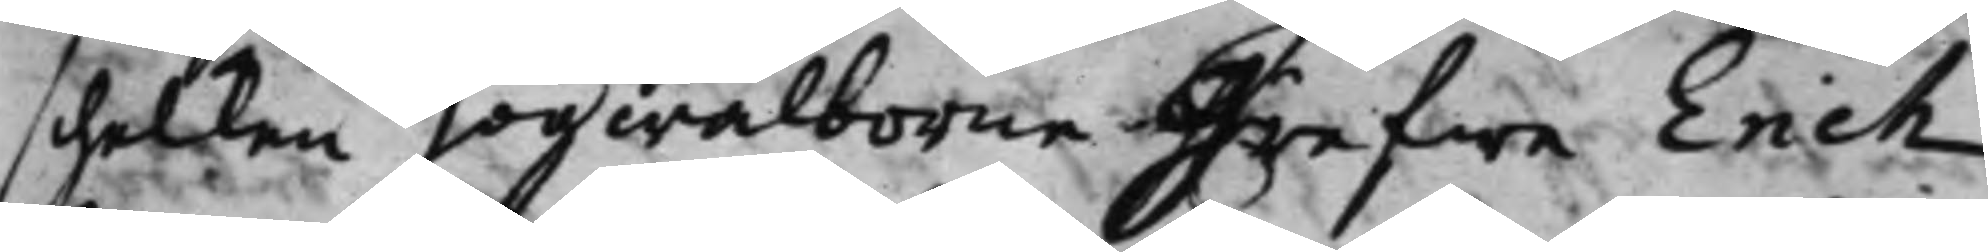schalken högwälborne Grefwe Erich
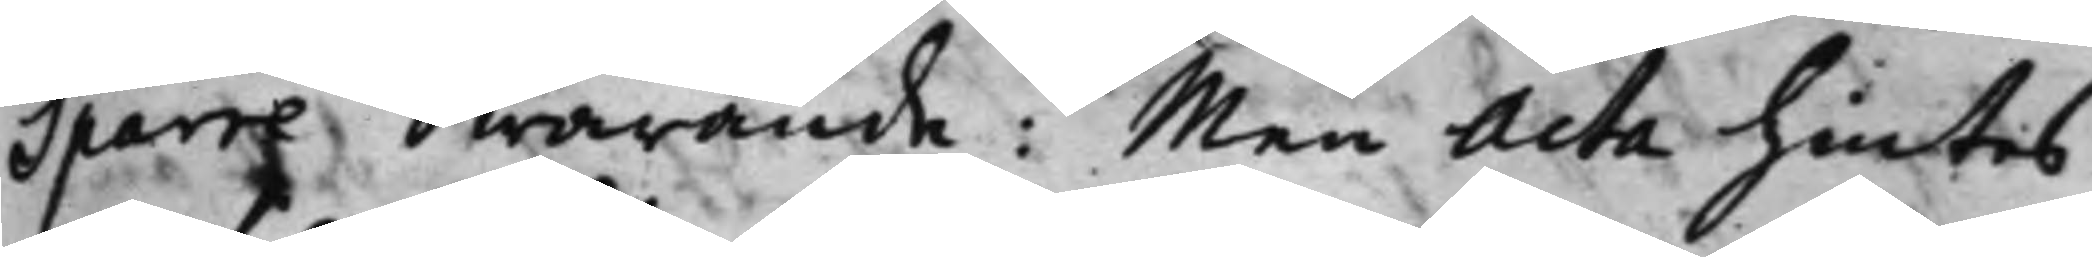Sparre swarande: Men Acta hintes
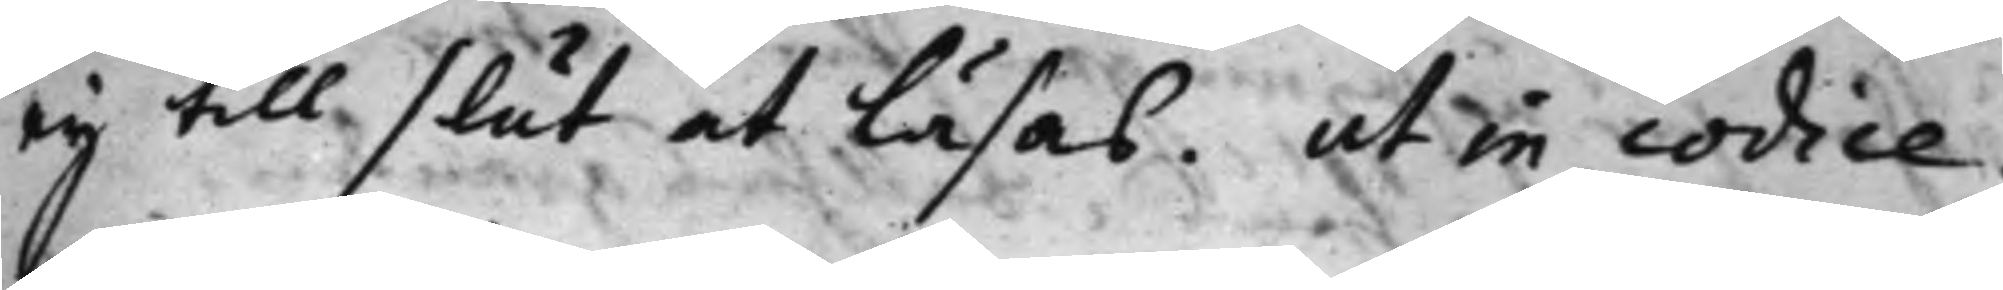eij till slut at läsas. ut in codice.
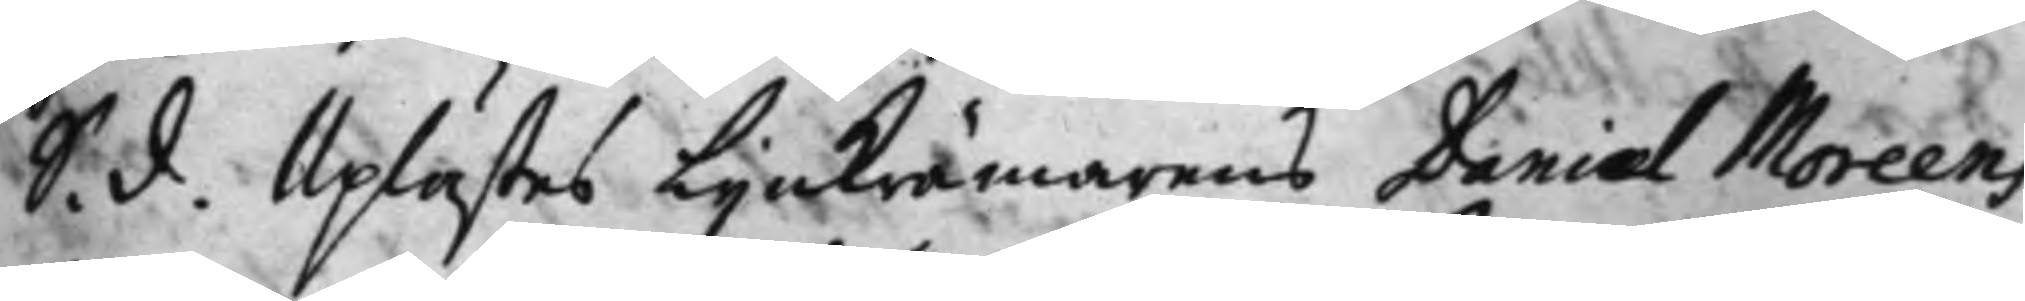S. d. Uplästes Lijnkrämarens Daniel Moreens 
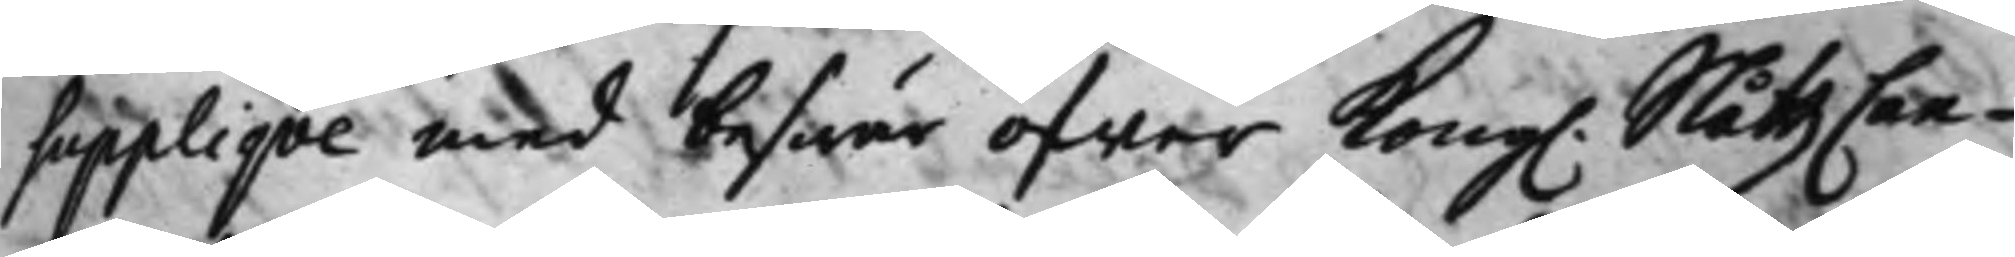Supplique med beswär öfwer Kong. SlåttzCan¬ 
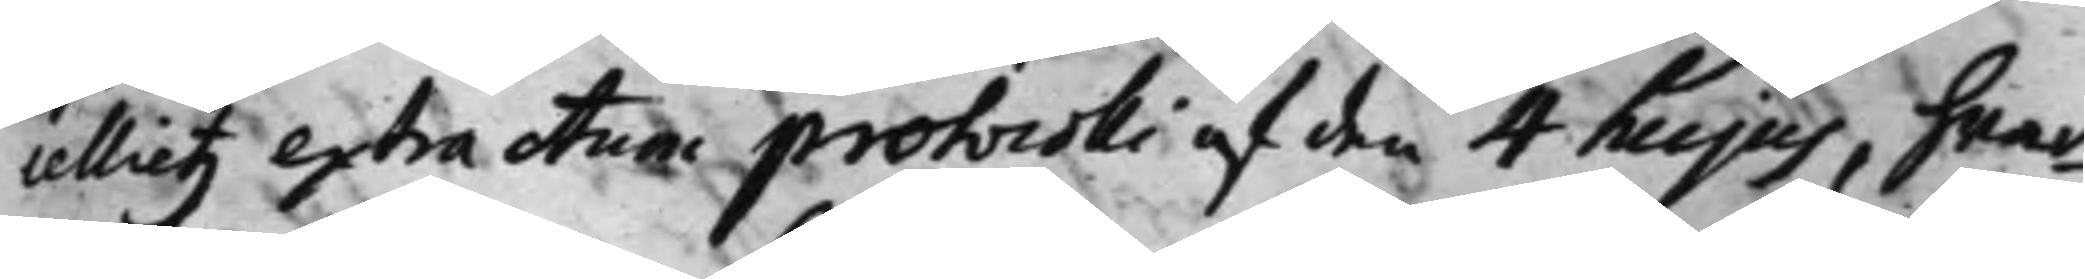cellietz extractum protocolli af den 4 hujus, hwar¬
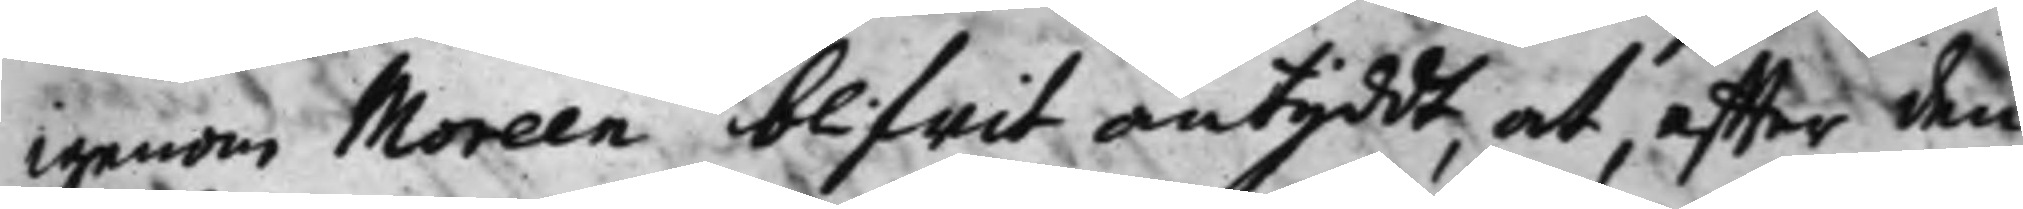igenom Moreen blifwit antyddt at, effter den
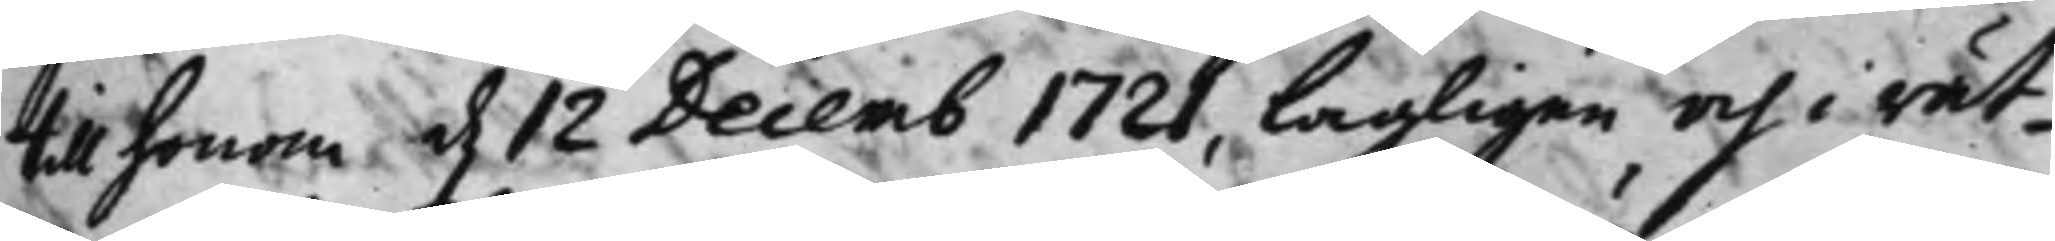till honom d. 12 Decemb 1721, lagligen och i rät¬ 
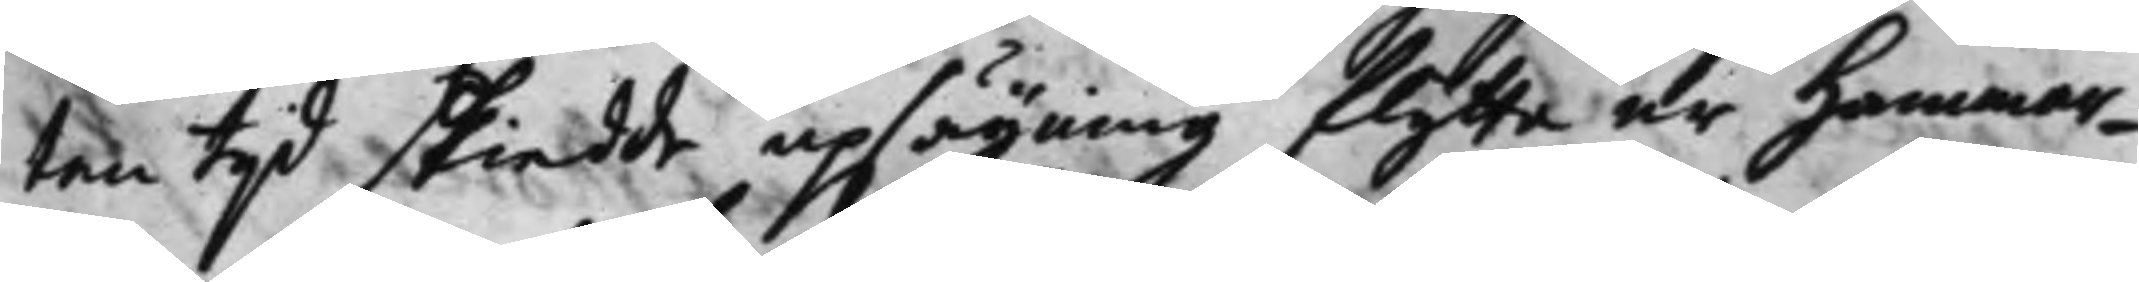tan tijd skiedde upsäijning flytta ur Hammar¬
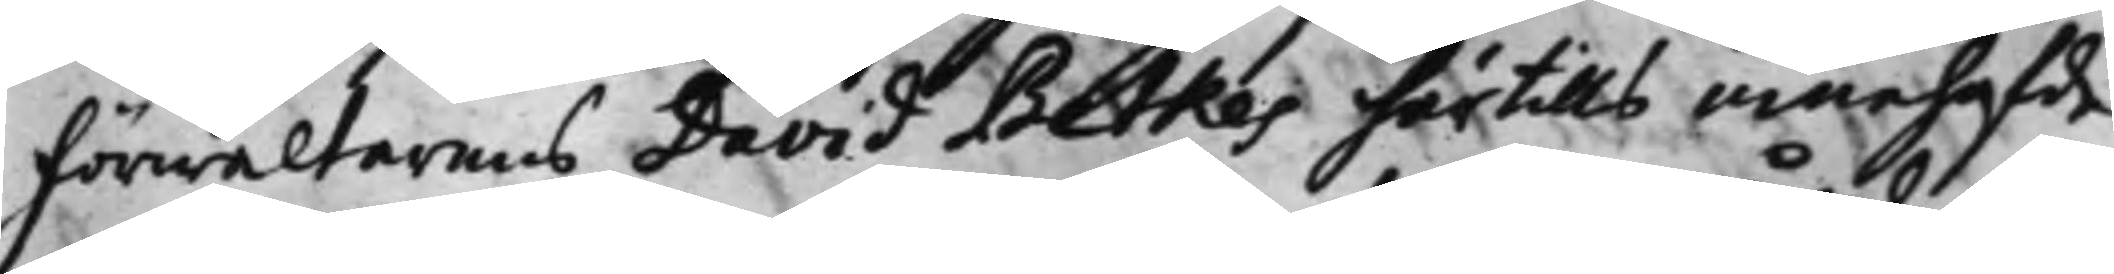Förwaltarens Davit Betkes härtills innehafde
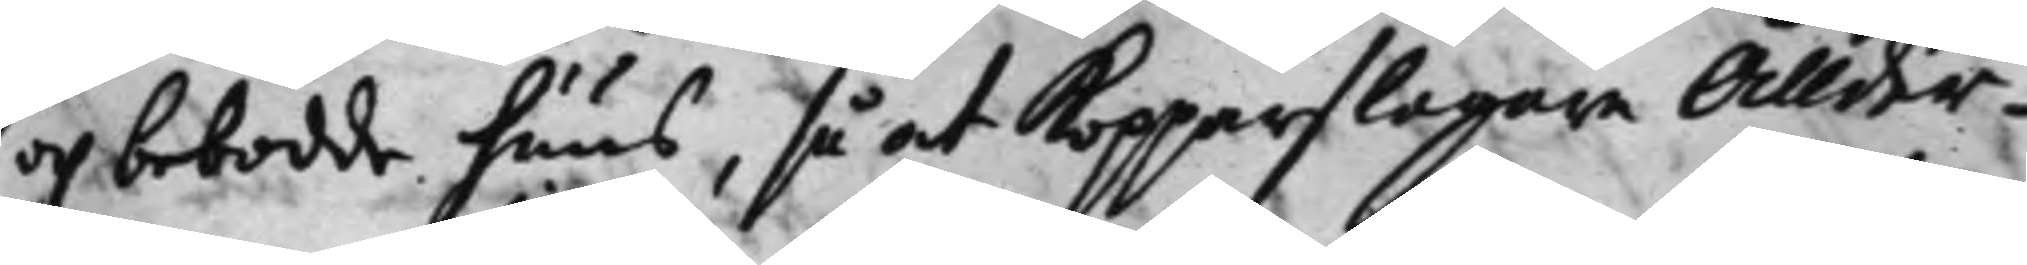och bebodde huus, så at Kopparslagare Ållder¬
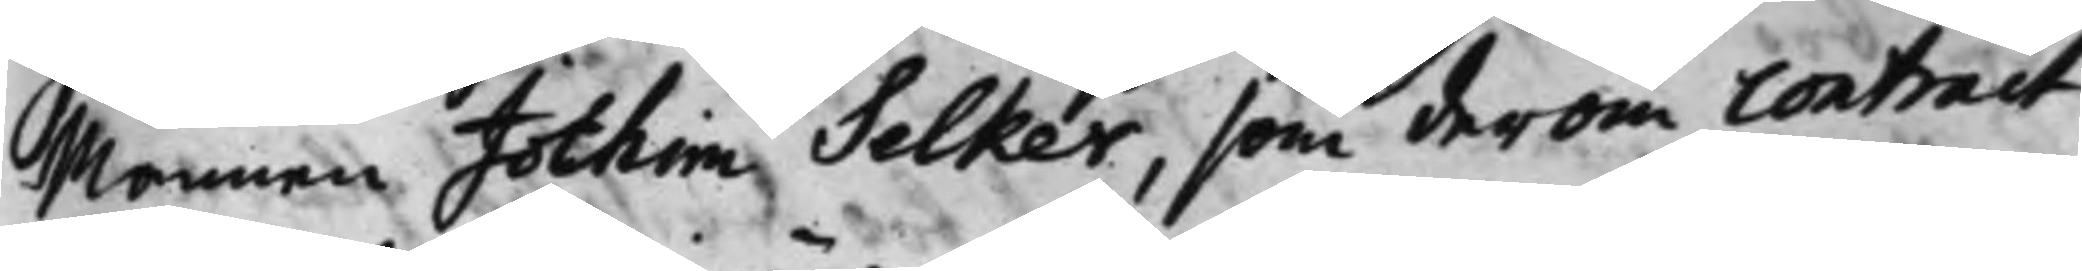Mannen Jochim Selker, som derom contract
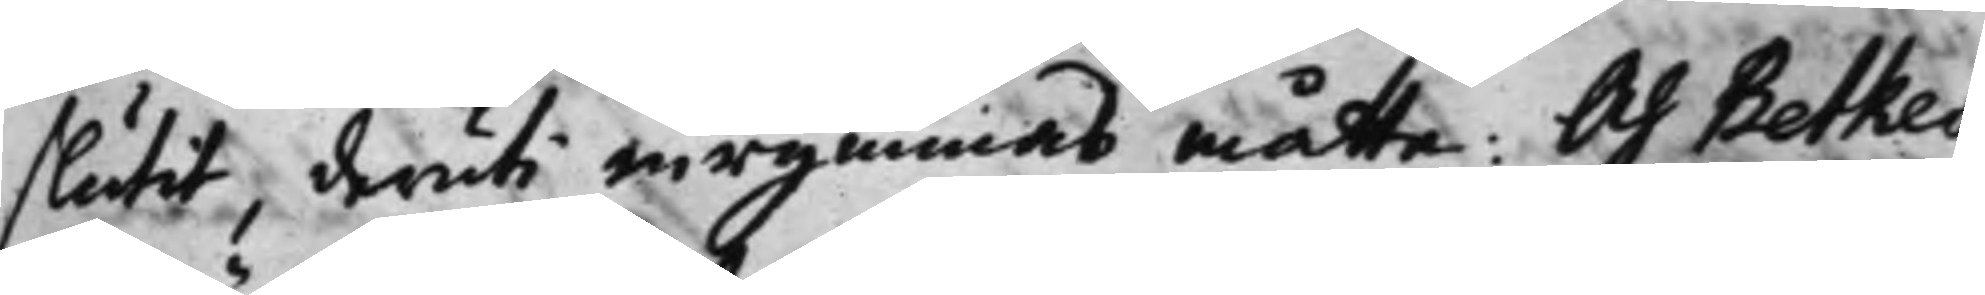slutit, deruti inrymmas måtte. Och Betkes
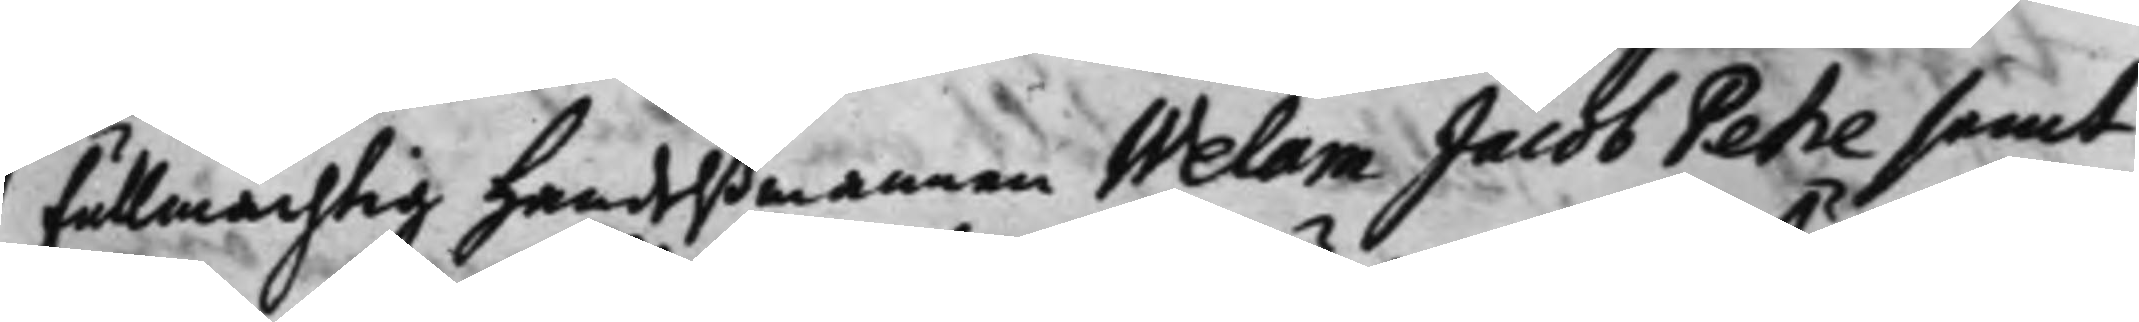Fullmächtig handelßmannen Welam Jacob Petre samt
